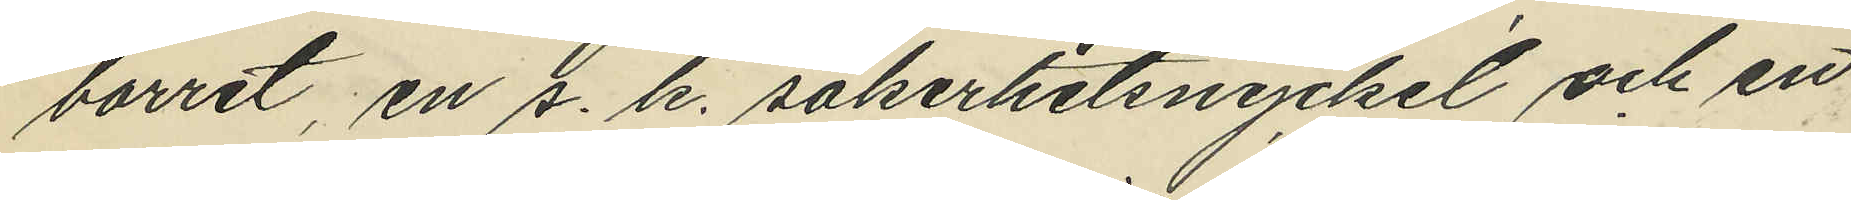borret, en s. k. säkerhetsnyckel och en
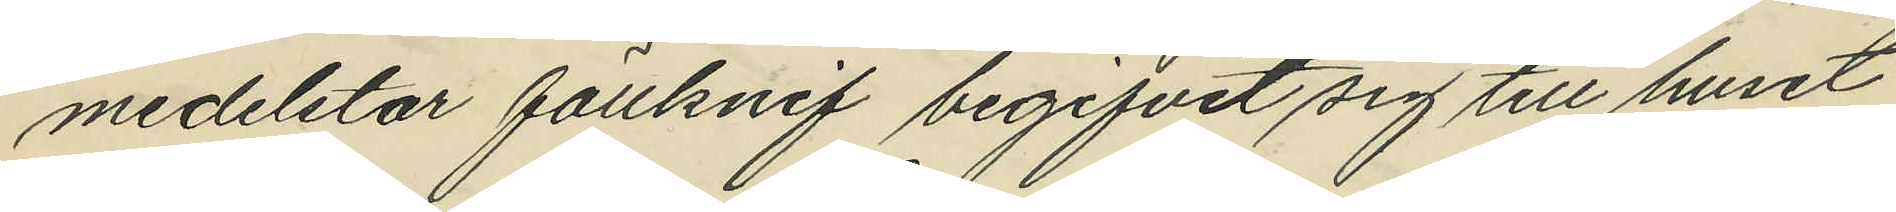medelstor fällknif begifvit sig till huset
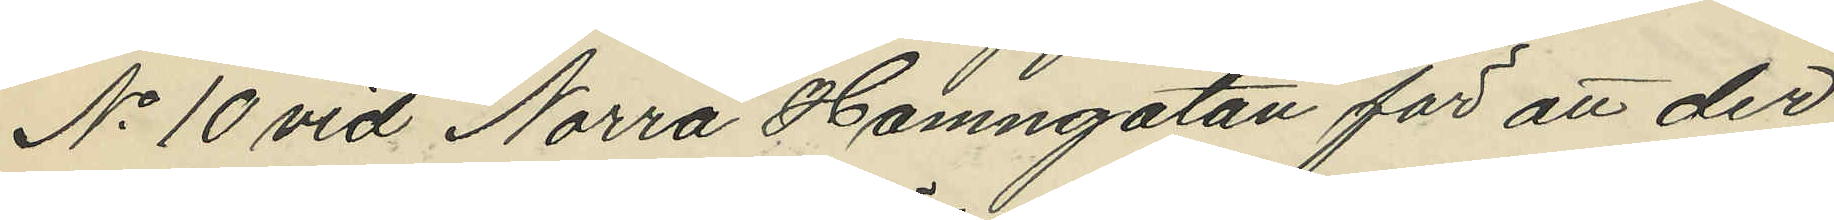No 10 vid Norra Hamngatan för att der
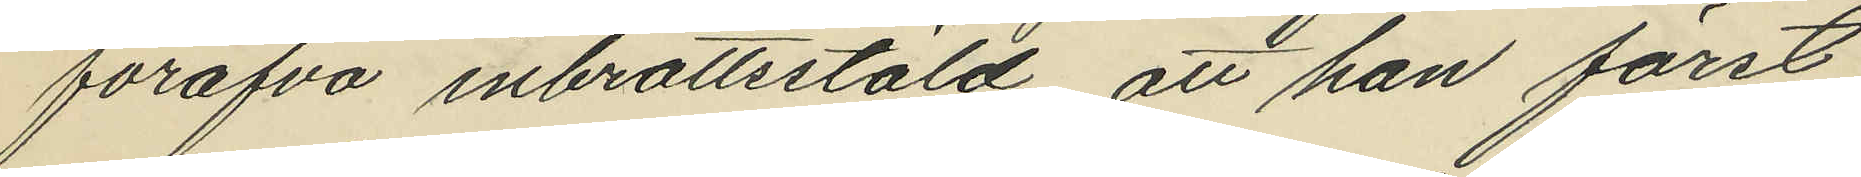föröfva inbrottsstöld, att han först
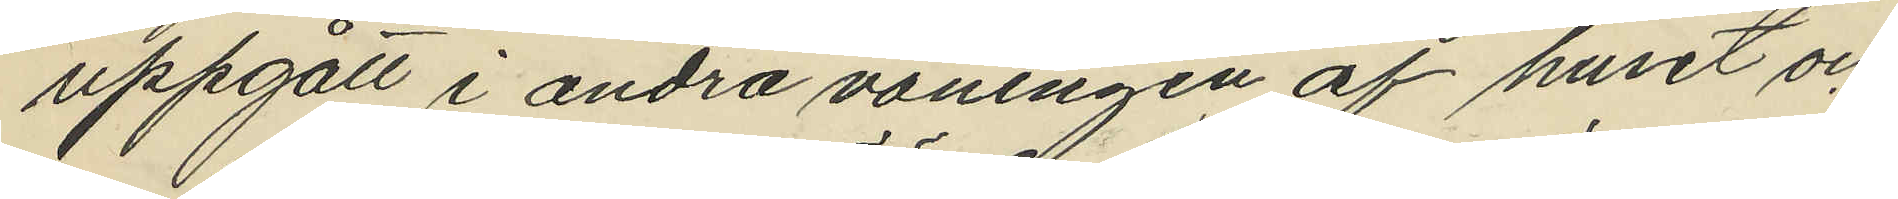uppgått i andra våningen af huset och
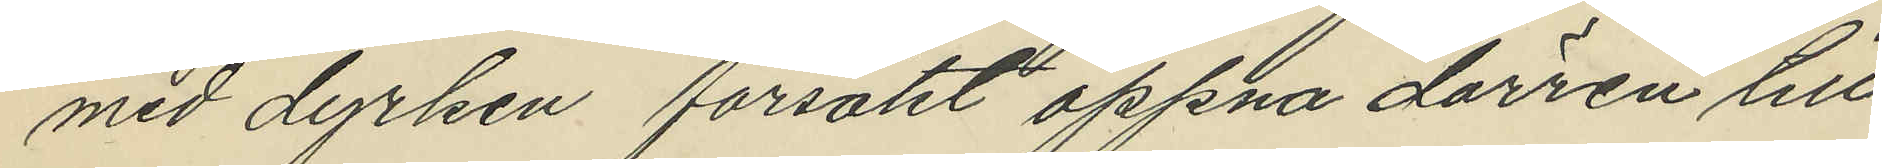med dyrken försökt öppna dörren till
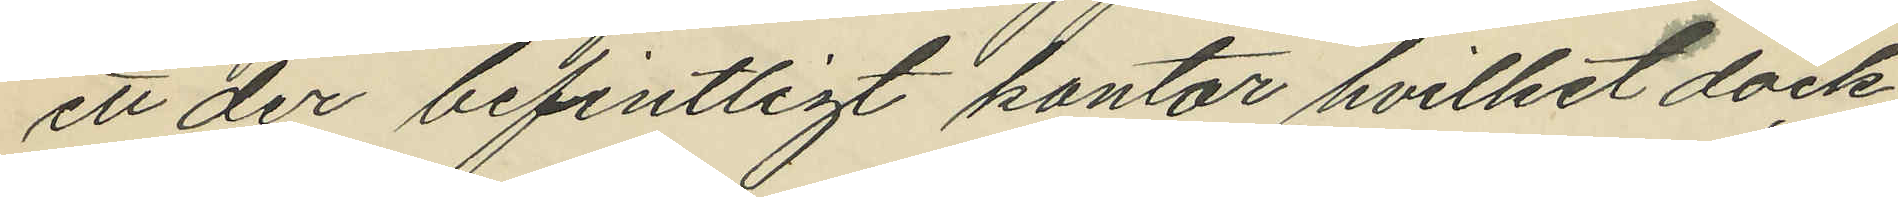ett der befintligt kontor hvilket dock
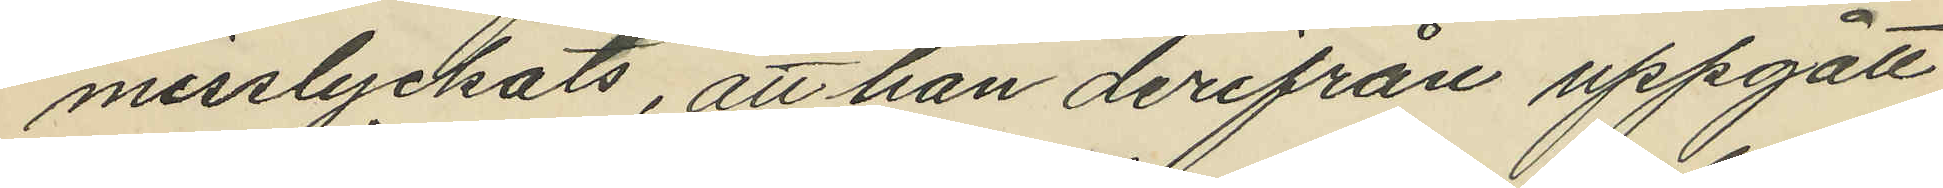misslyckats, att han derifrån uppgått
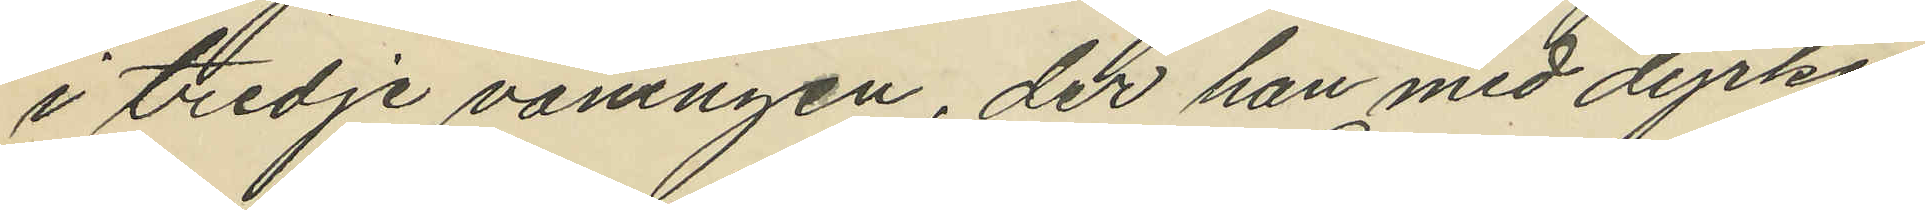i tredje våningen, der han med dyrken
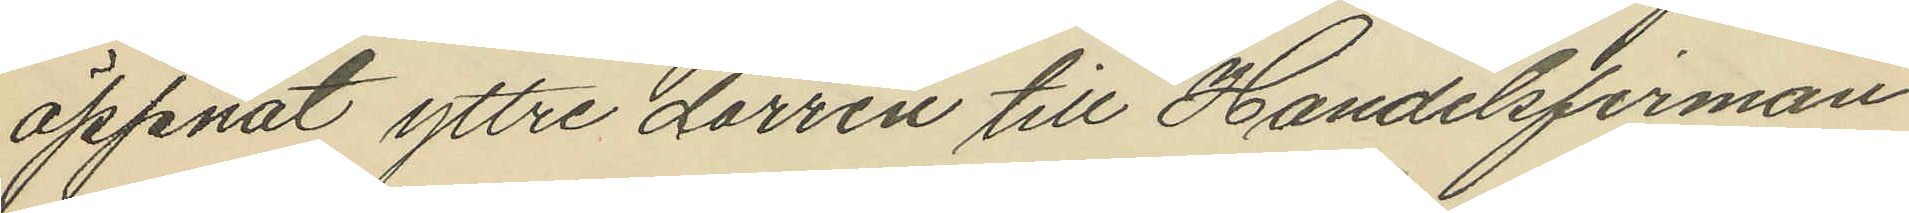öppnat yttre dörren till Handelsfirman
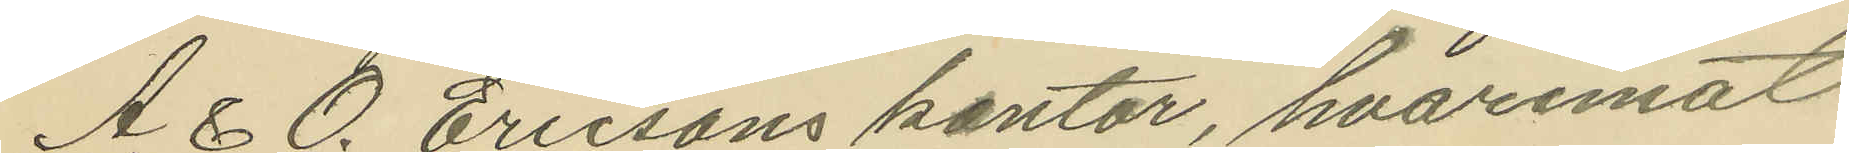A. & O. Ericsons kontor, hvaremot
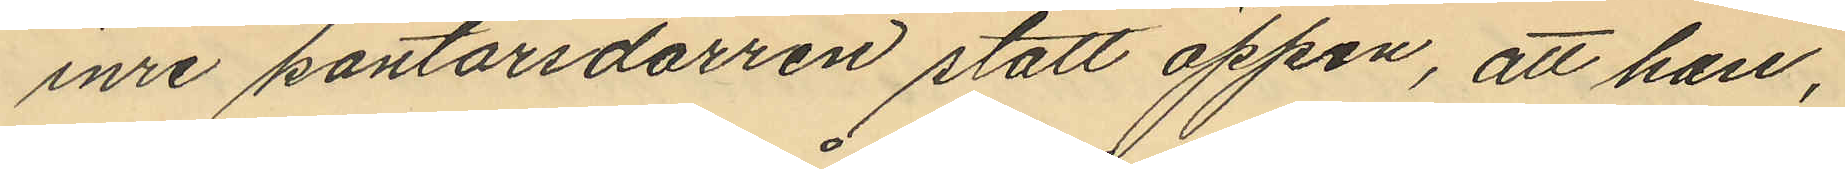inre kontorsdörren stått öppen, att han,
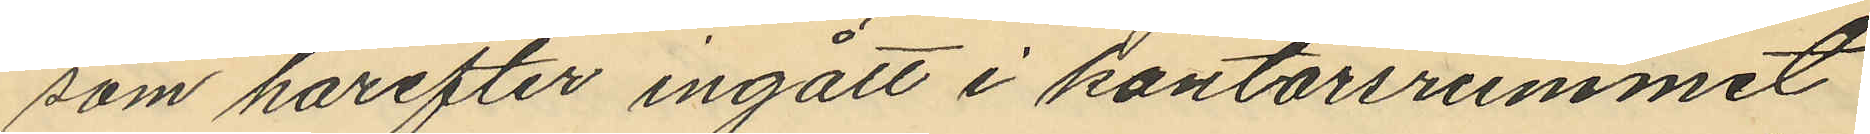som härefter ingått i kontorsrummet
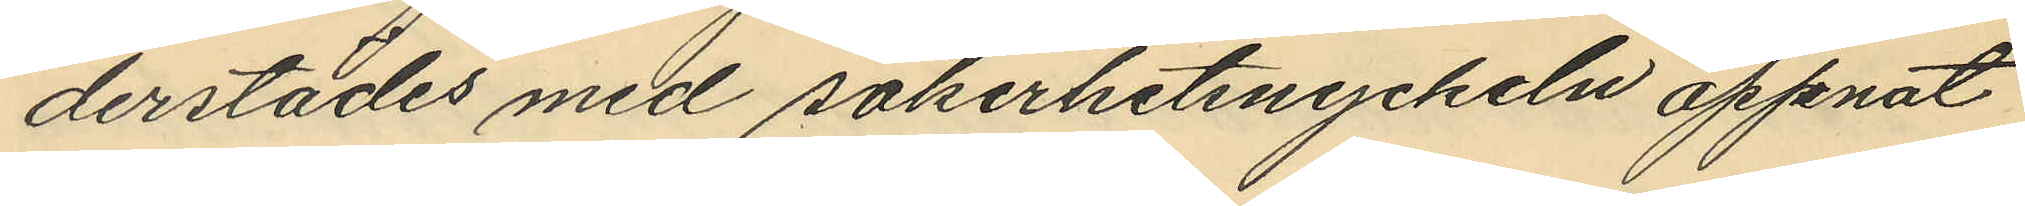derstädes med säkerhetsnyckeln öppnat
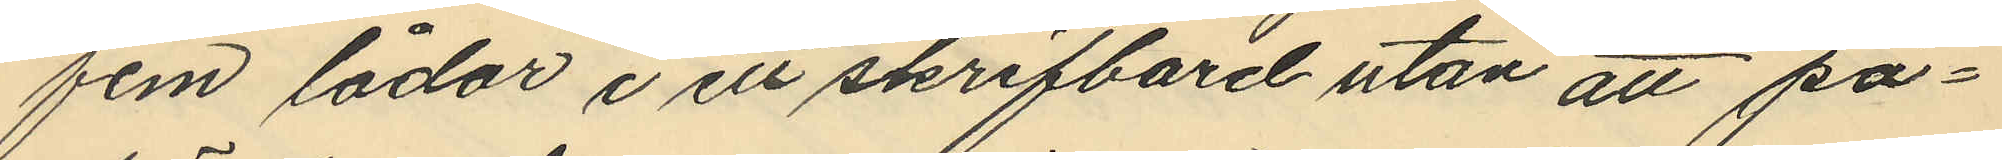fem lådor i ett skrifbord utan att på¬
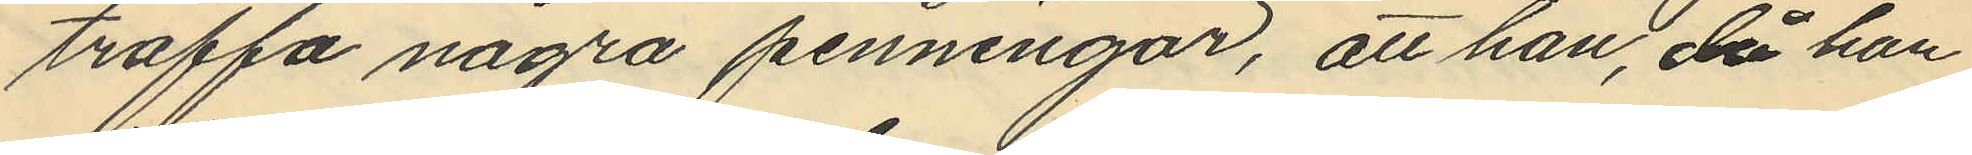träffa några penningar, att han, då han
